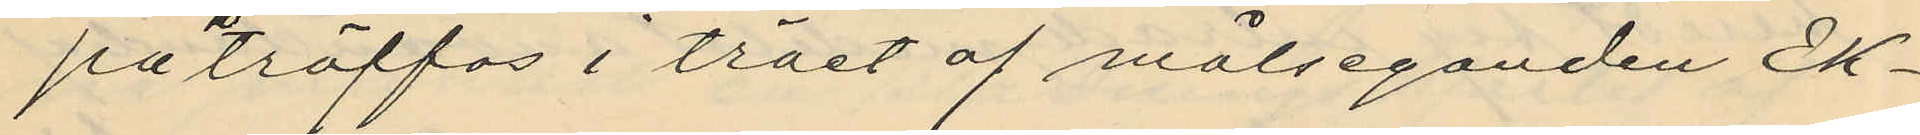påträffas i träet af målseganden Ek¬
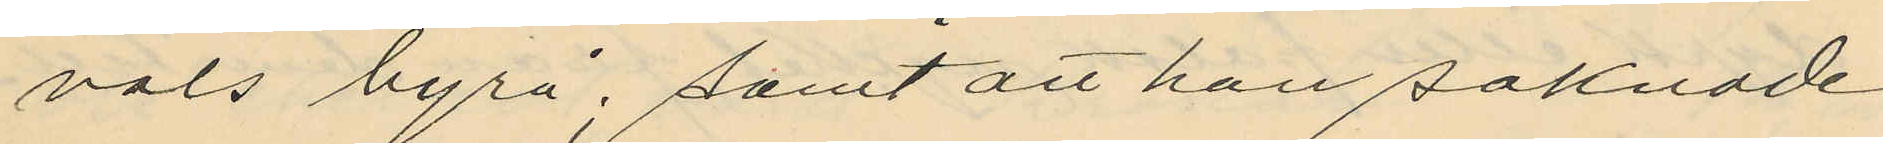vals byrå; samt att han saknade
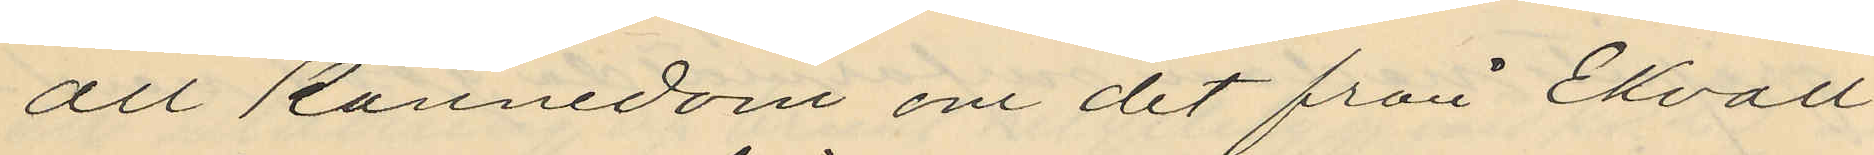alt kännedom om det från Ekvall
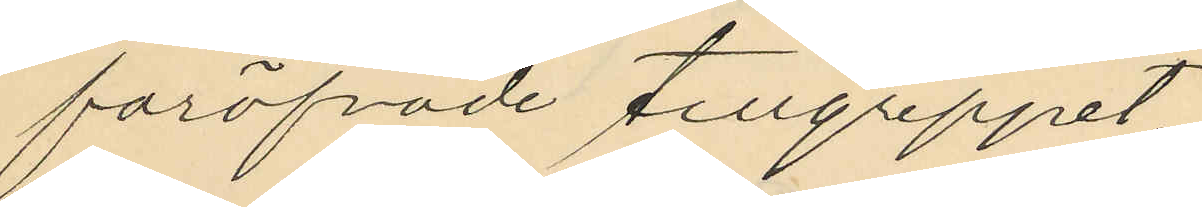föröfvade tillgeppet.
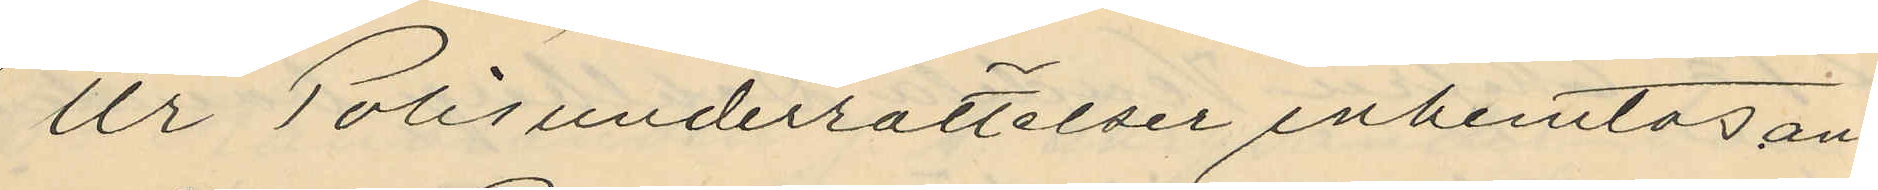Ur Polisunderrättelser inhemtas an¬
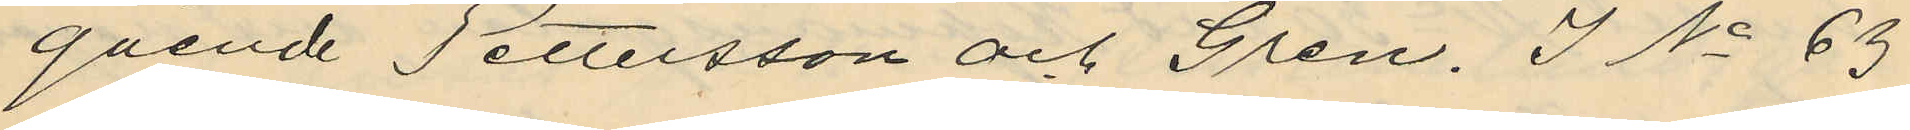gående Pettersson och Gren. I No 63
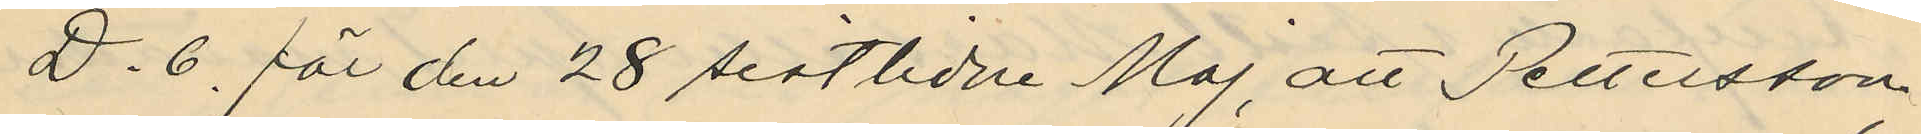D. 6. för den 28 sistlidne Maj att Pettersson,
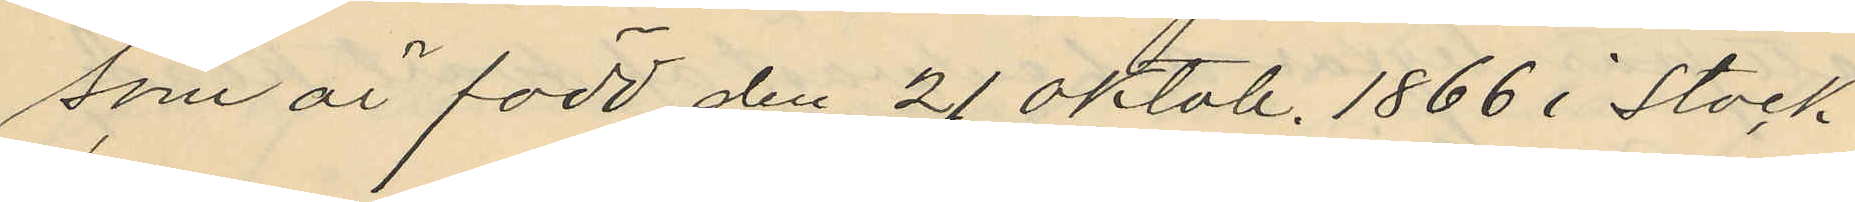som är född den 21 Oktob. 1866 i Stock¬
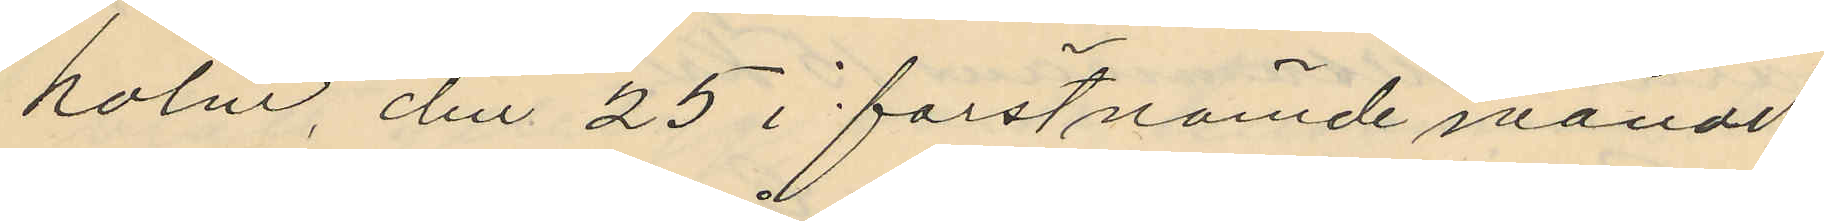holm, den 25 i förstnämde månad
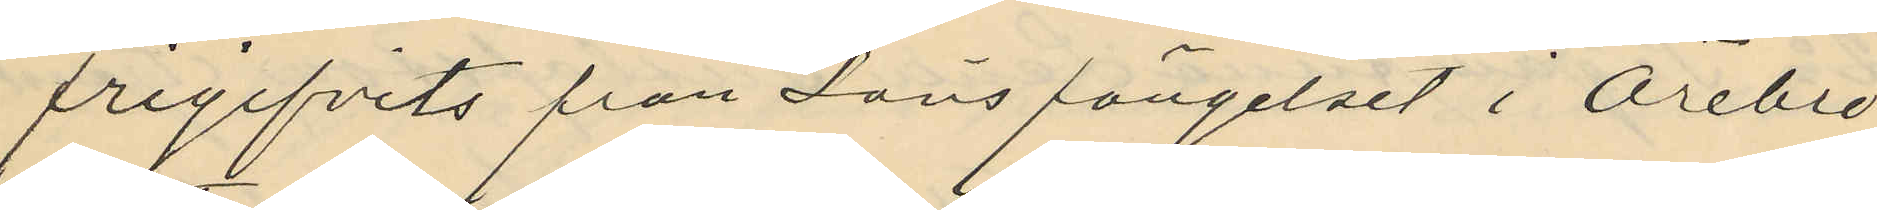frigifvits från Länsfängelset i Örebro
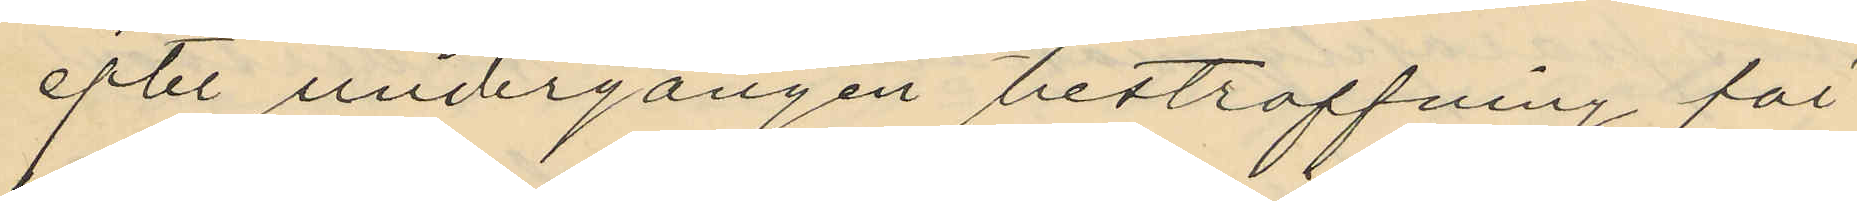efter undergången bestraffning för
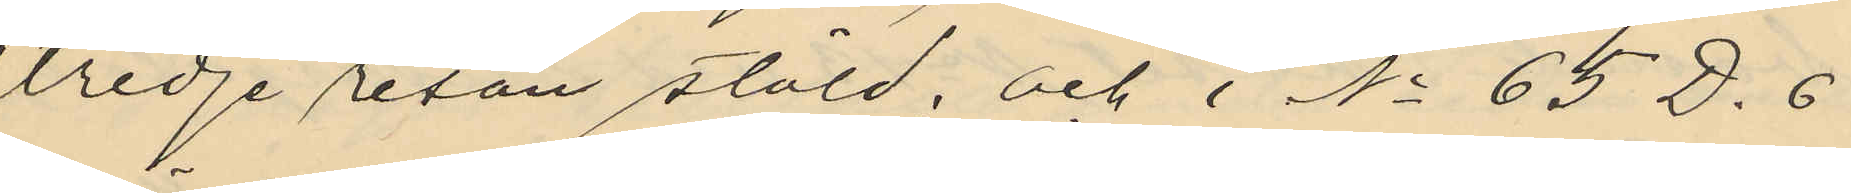tredje resan stöld, och i No 65 D.6
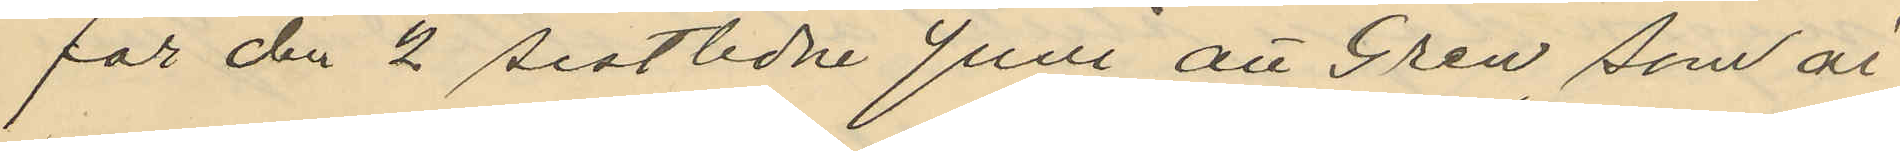för den 2 sistlidne Juni att Gren som är
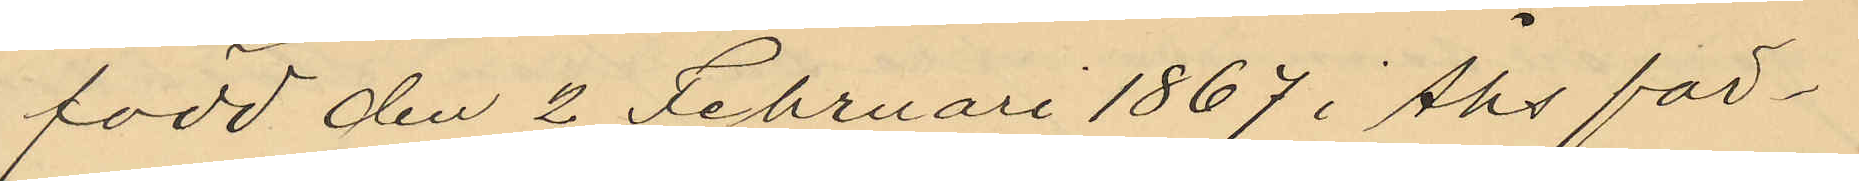född den 2 Februari 1867 i Åhs för¬
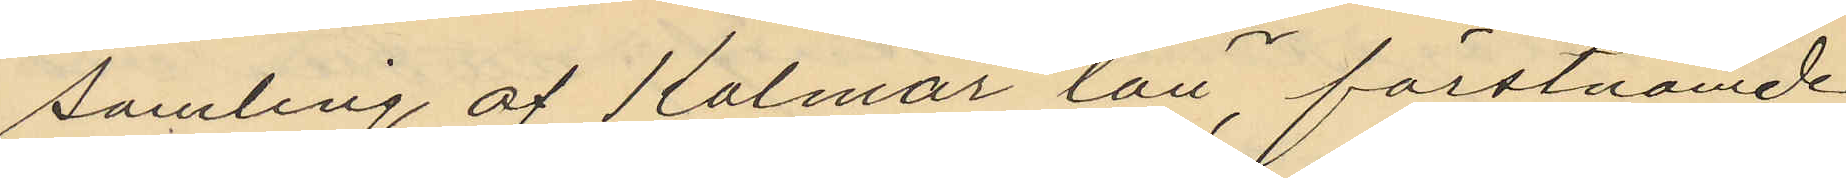samling af Kalmar län, förstnämde
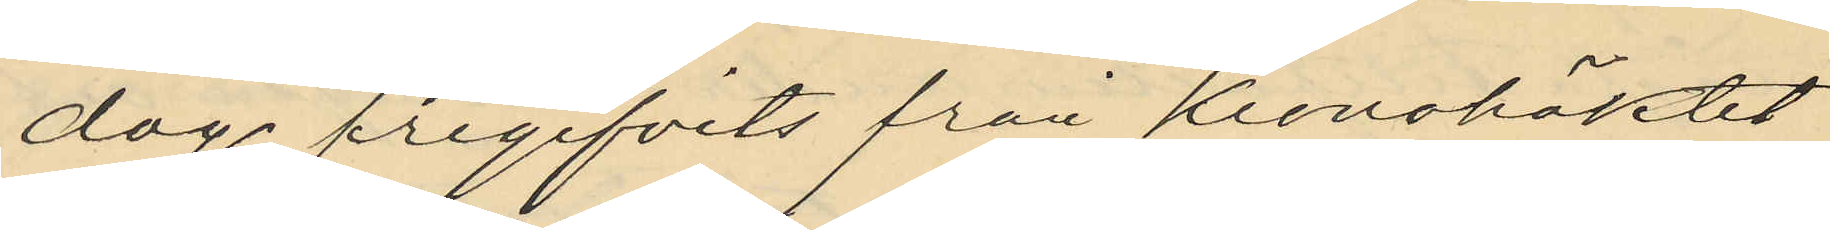dag frigifvits från Kronohäktet
